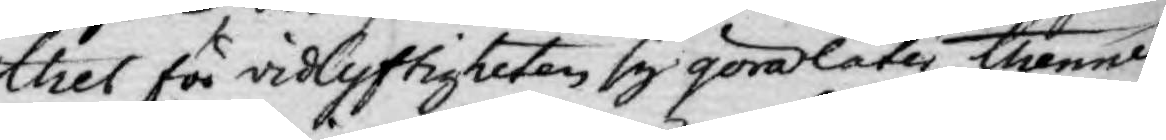thes för vidlyftigheten sig göra låta, thenne
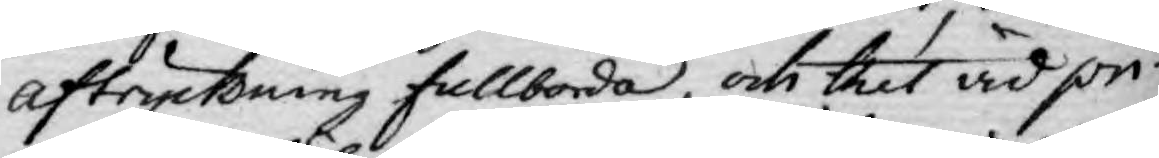aftryckning fullborda, och thet vid pri¬
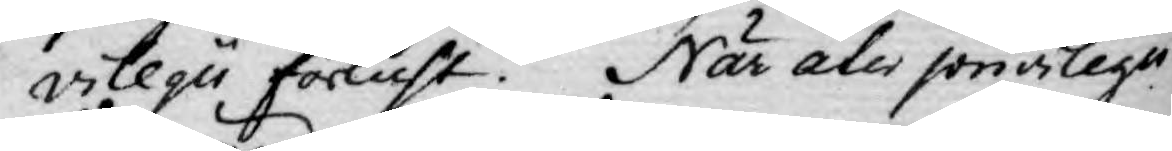vilegii förlust. När åter privilegii
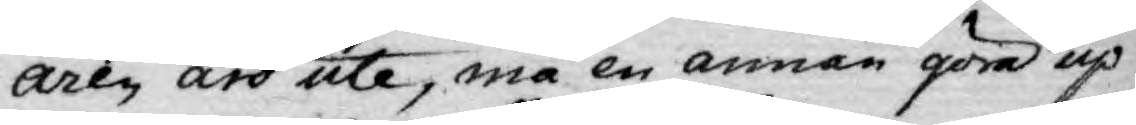åren äro ute, må en annan göra up¬
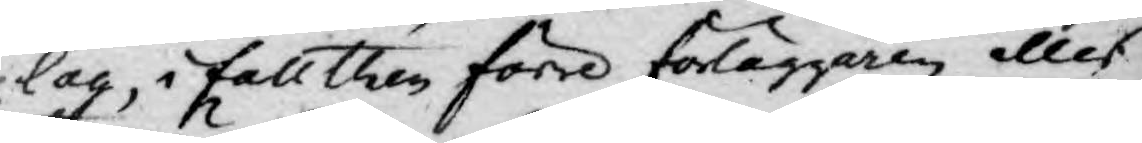lag, i fall then förre förläggaren alles
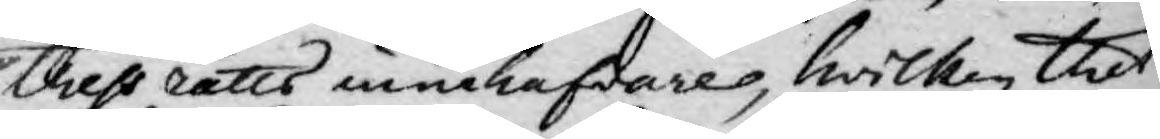thess rätts innehafvares, hwilken thet
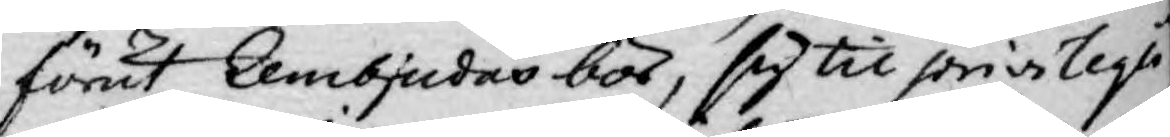förut Annbjudas bör, sig til privilegii
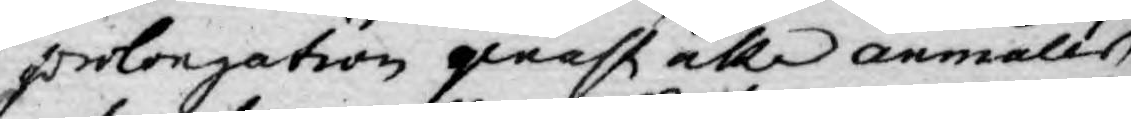prolongation qenast alle anmäles,
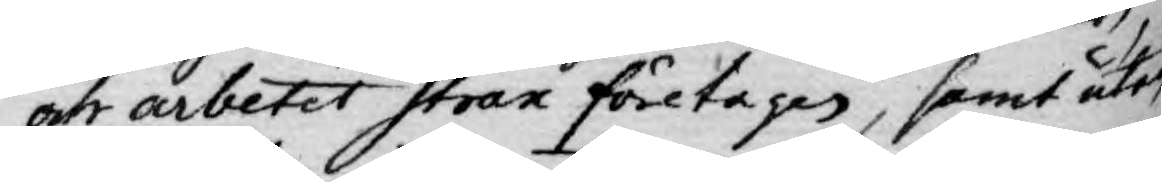och arbetet strax företages, samt åter
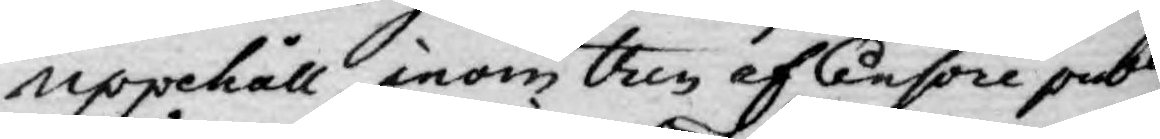uppehåll, inom then af Cencore publi¬
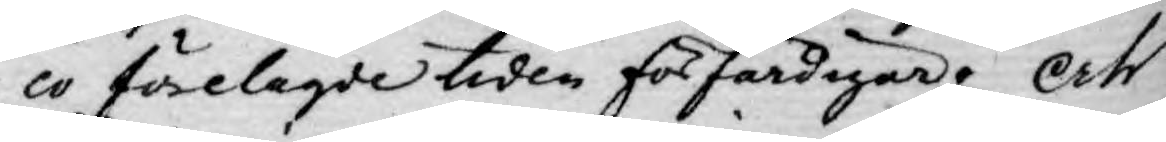co förelagde tiden förfärdigar; Och
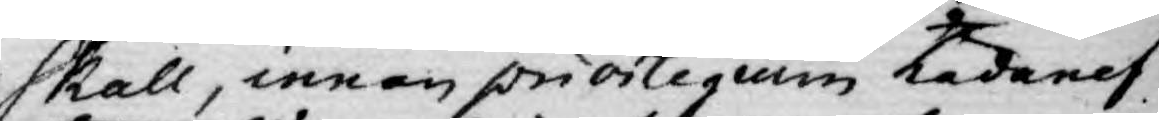skall, innan privilegium hädanef¬
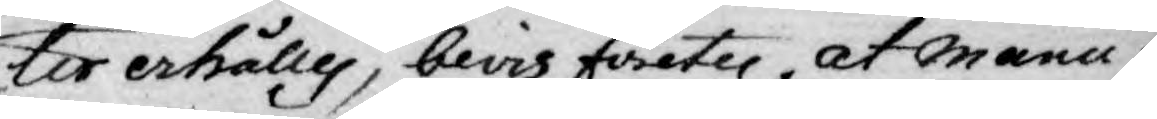ter erhålles, bevis företer at manu¬
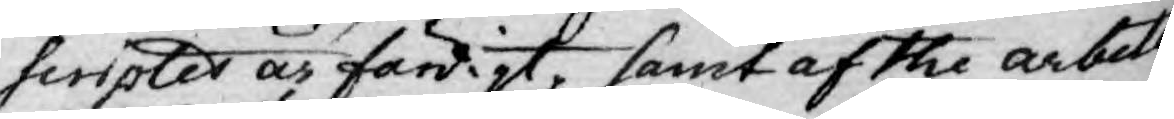scriptes är färdigt, samt af the arbeten
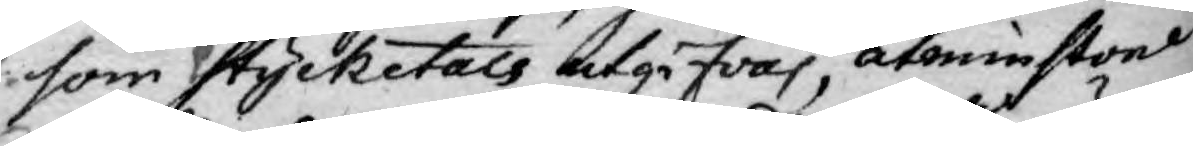som stycketals utgifvas, åtminstone
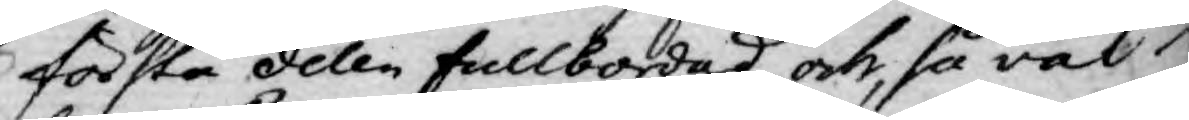första delen fullbordad, och, så väl
